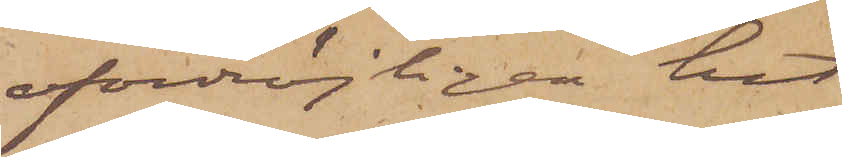ofördröjligen hit
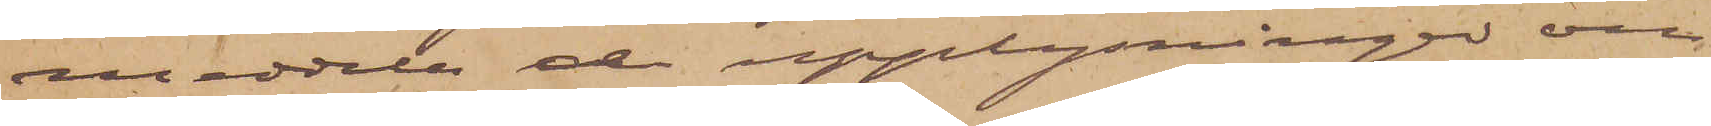meddela de upplysningen om
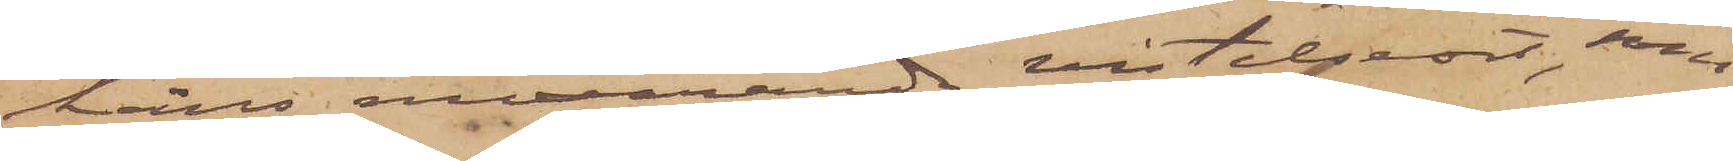hans nuvarande vistelseort, som
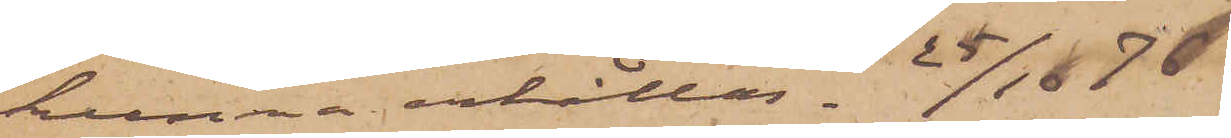kunna erhållas.  25/10 76.
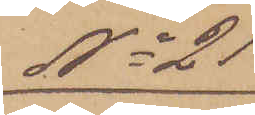No 21
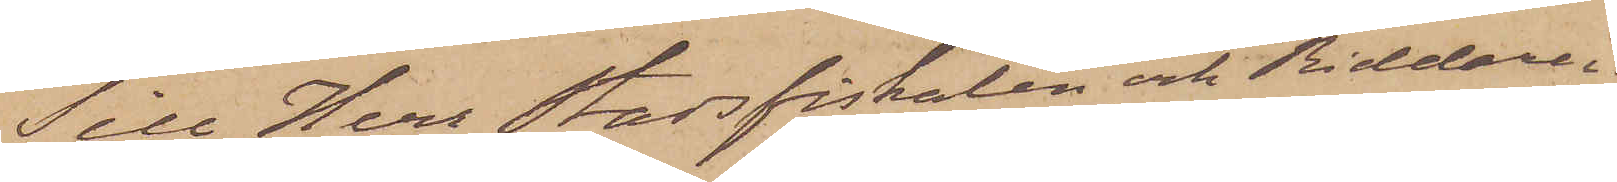Till Herr Stadsfiskalen och Riddaren
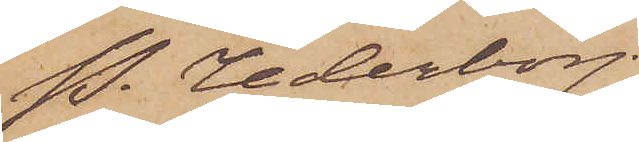P. Cederborg
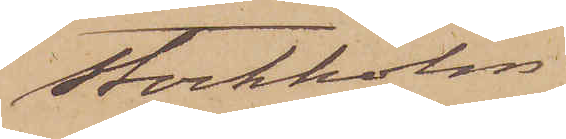Stockholm.
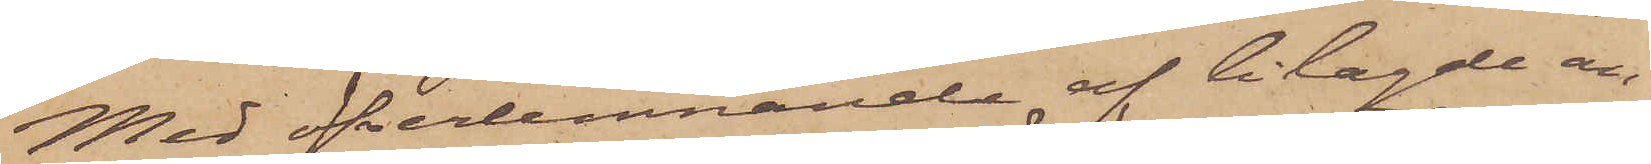Med öfverlemnande af bilagde an¬
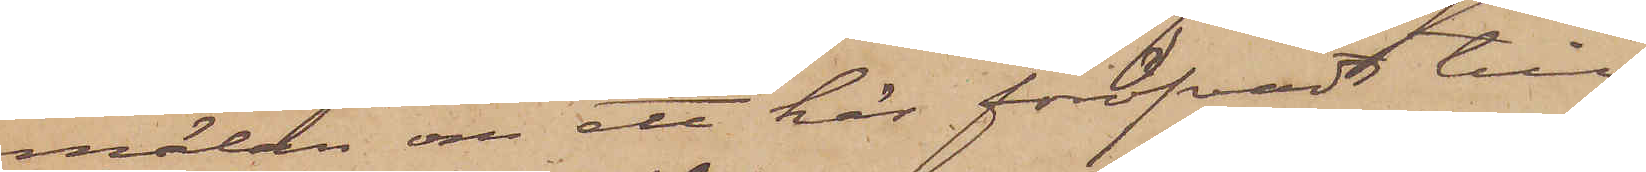mälan om ett här föröfvadt till¬
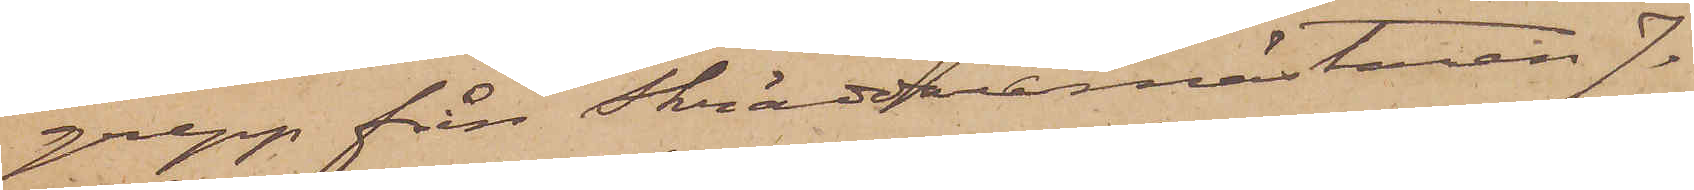grepp från Skräddaremästaren J.
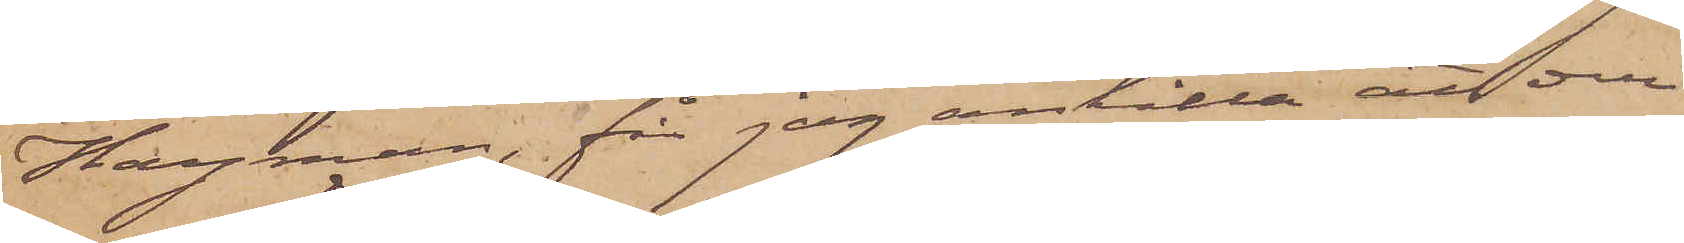Hayman, får jag anhålla att deri
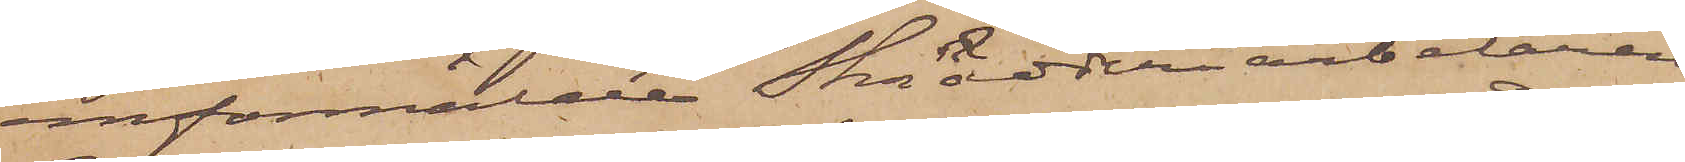omförmälde Skrädderiarbetaren
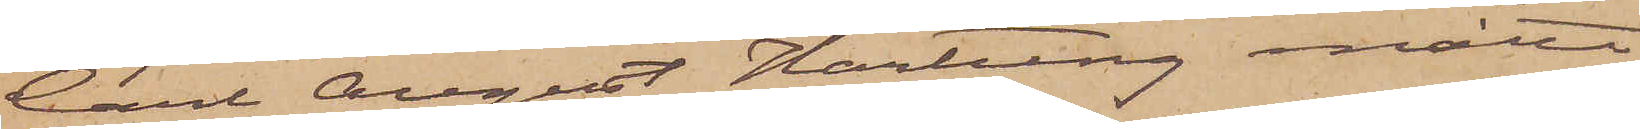Carl August Hartung måtte
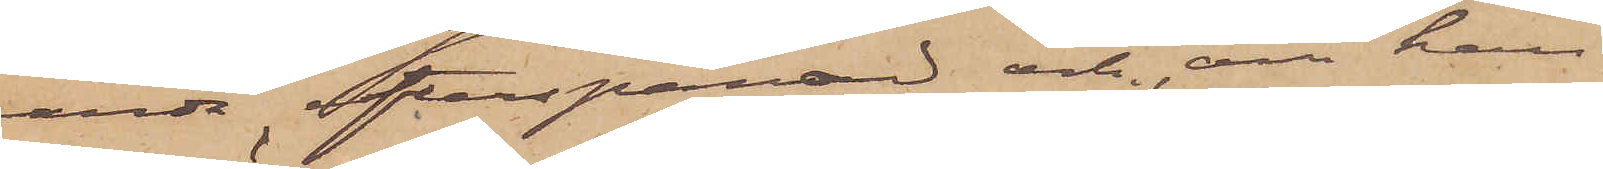varda efterspanad och om han
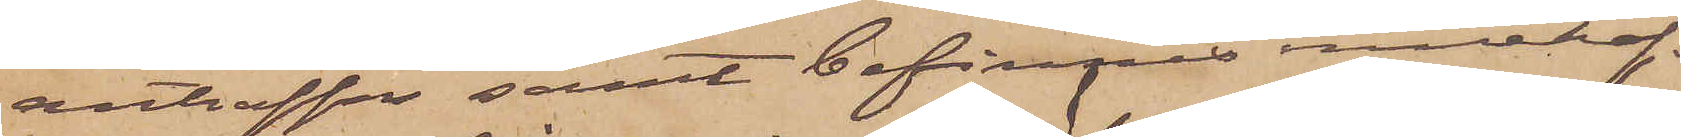anträffas samt befinnes innehaf¬
